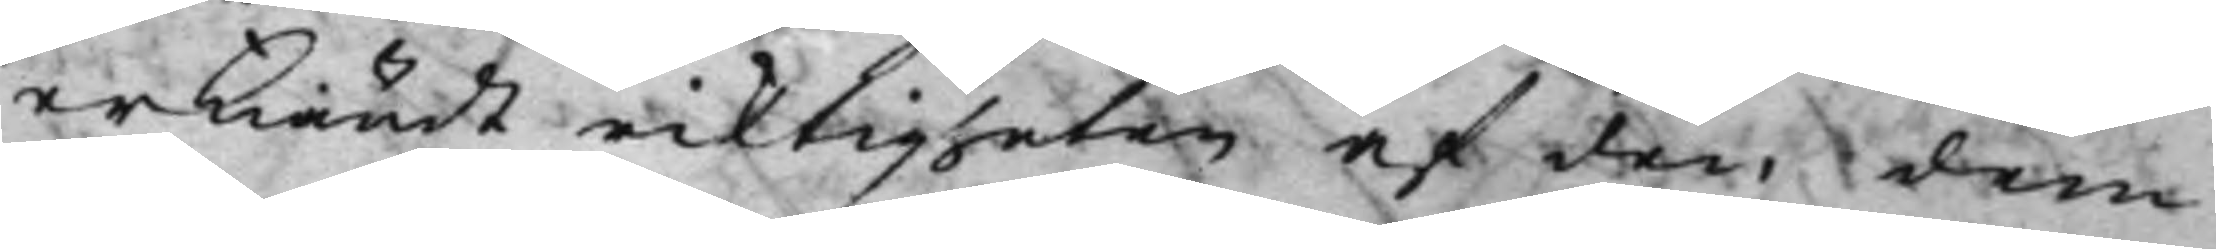erkändt riktigheten af den dem
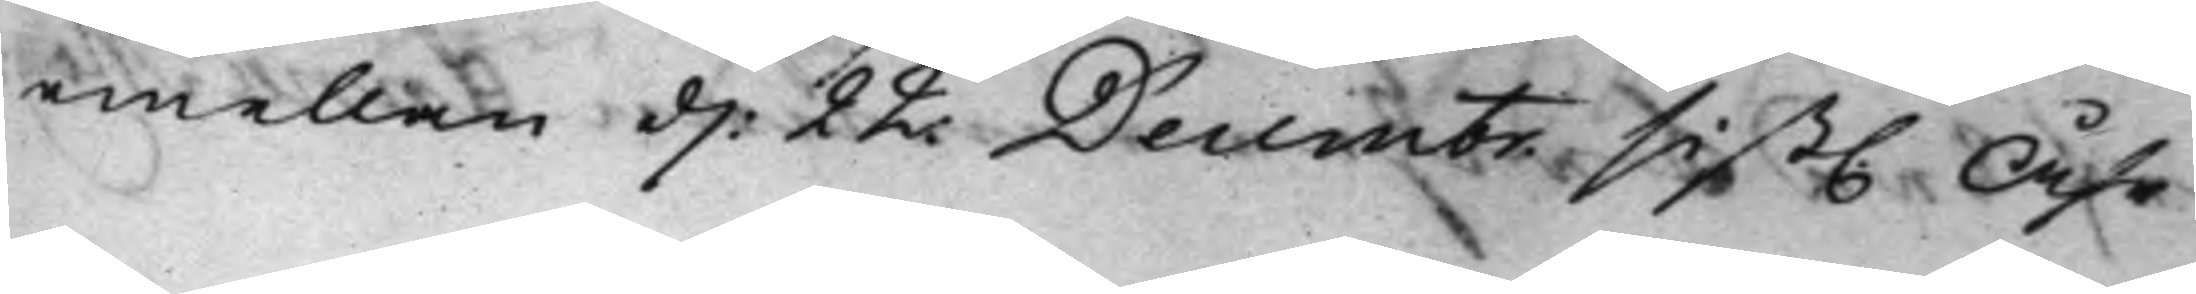emellan d: 22 Decembr sist. Åhr
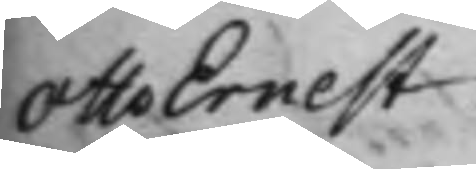Otto Ernest
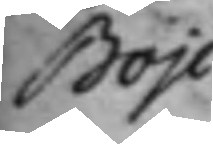Boje
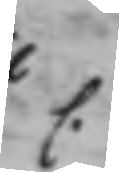C.
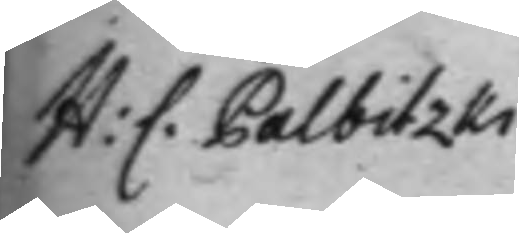H: C. Palbitzki
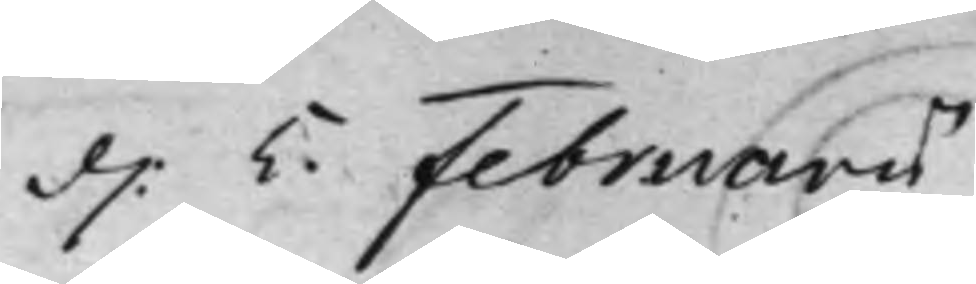d. 5. Februarii
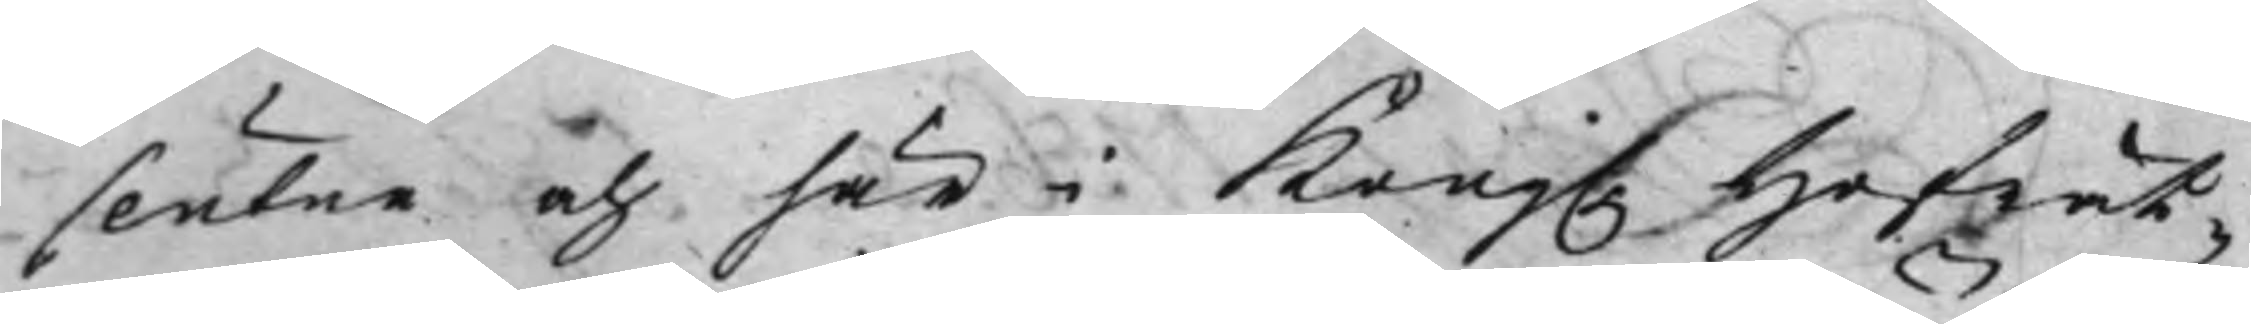slutne och här i Kong. Hofrät¬
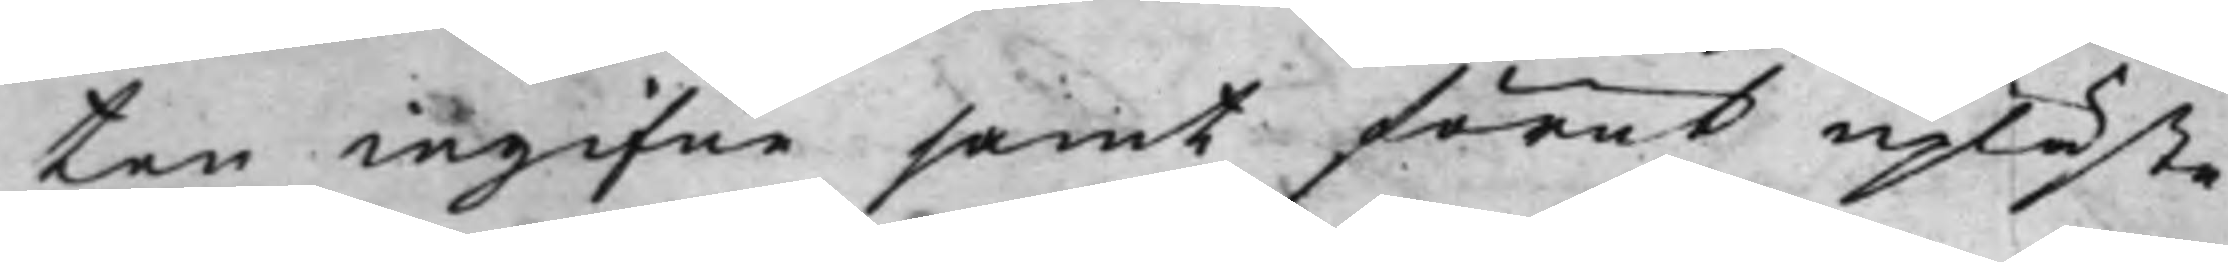ten ingifne samt förut upläste
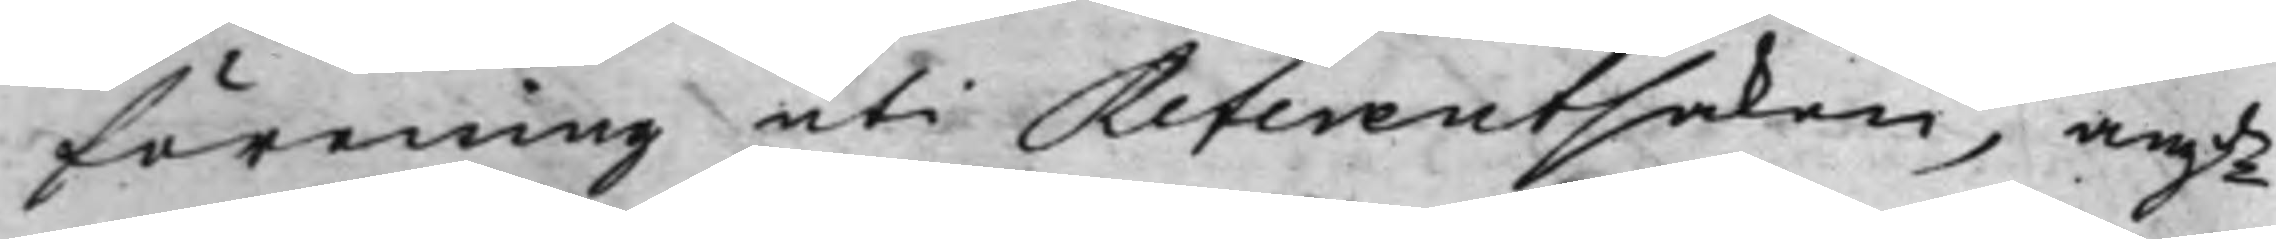förening uti Referentsaken, angde
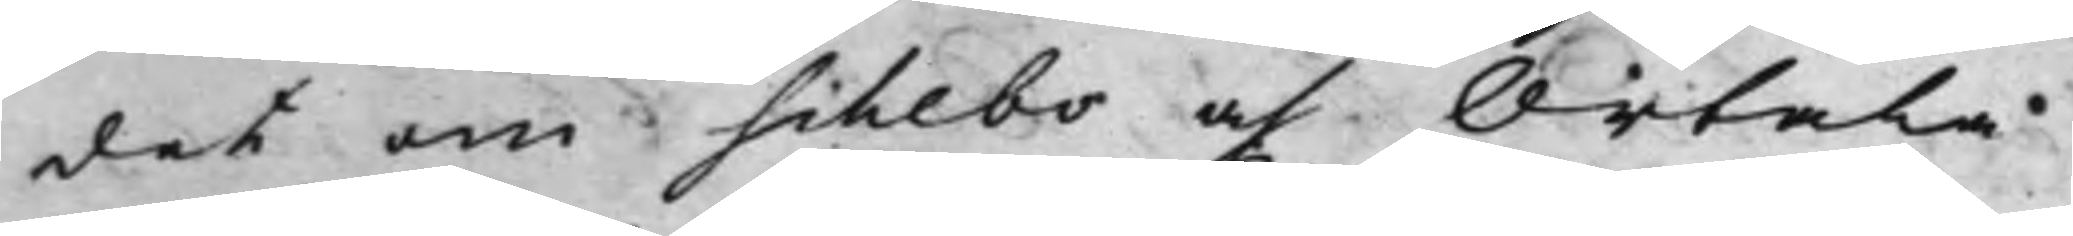det om Schebo och Ortala
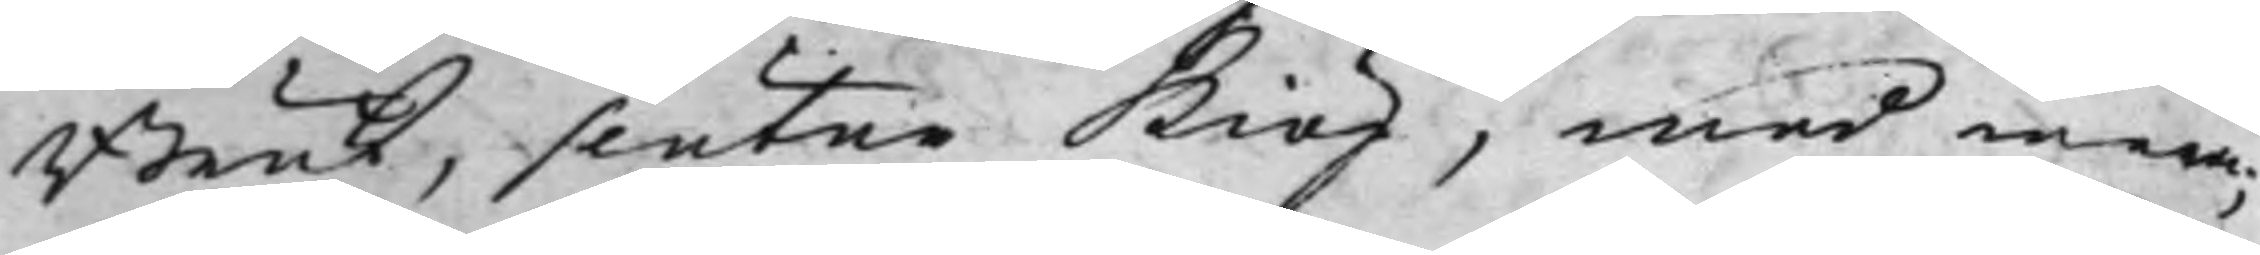Bruk, slutne Kiöp, med mera;
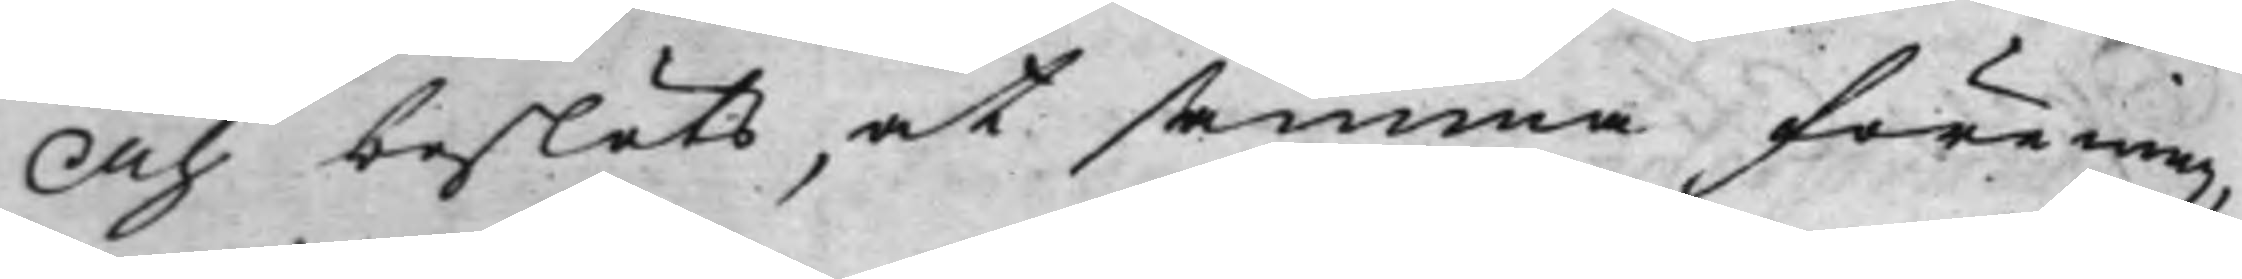Och beslöts, at samma förening,
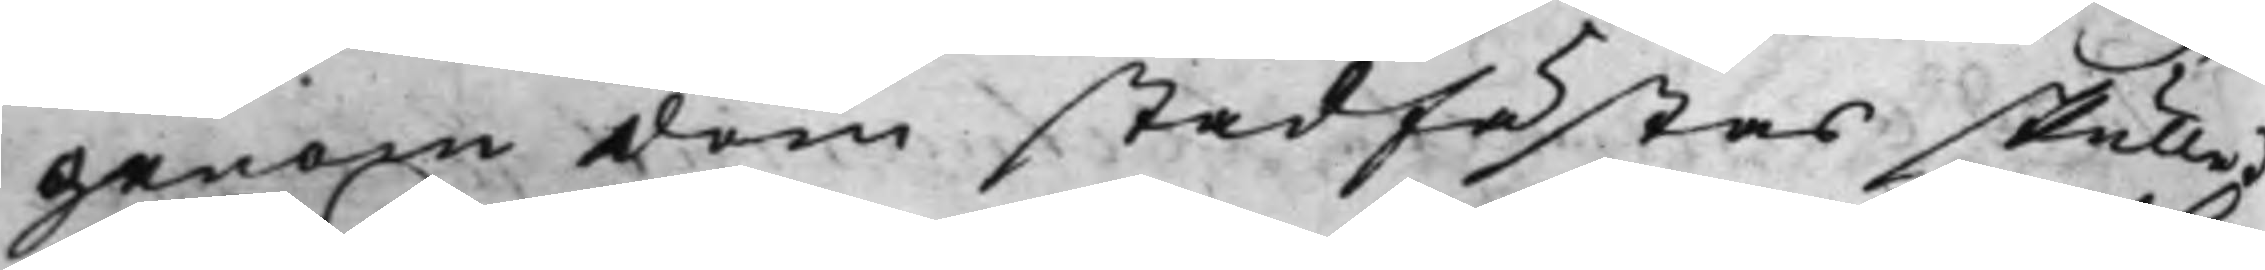genom dom stadfästas skulle.
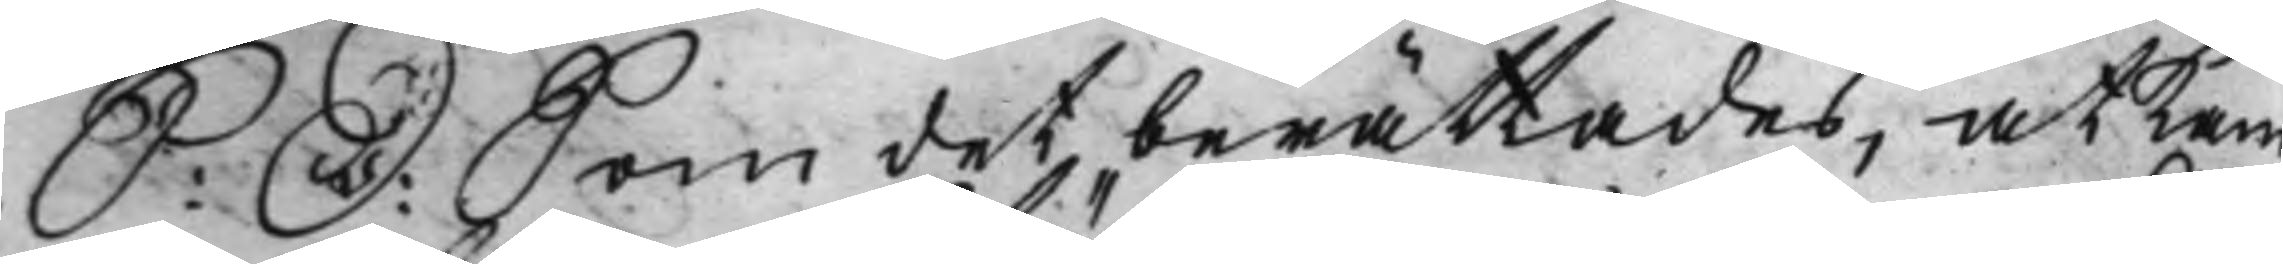S: D: Som det berättades, at Kam¬
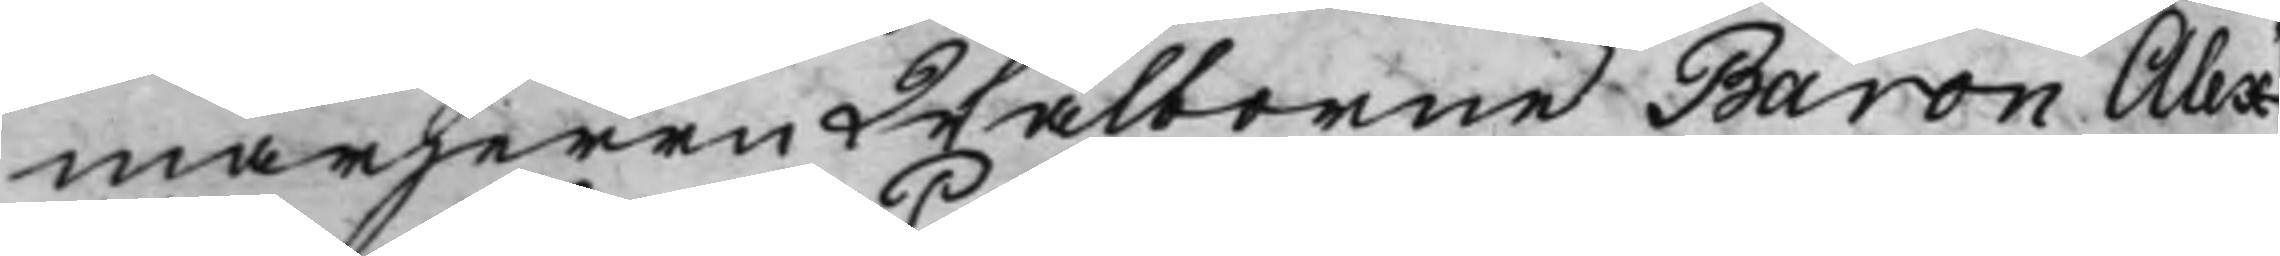marherrn Wälborne Baron Alex¬
